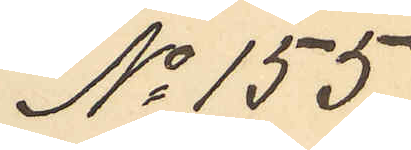No 155.
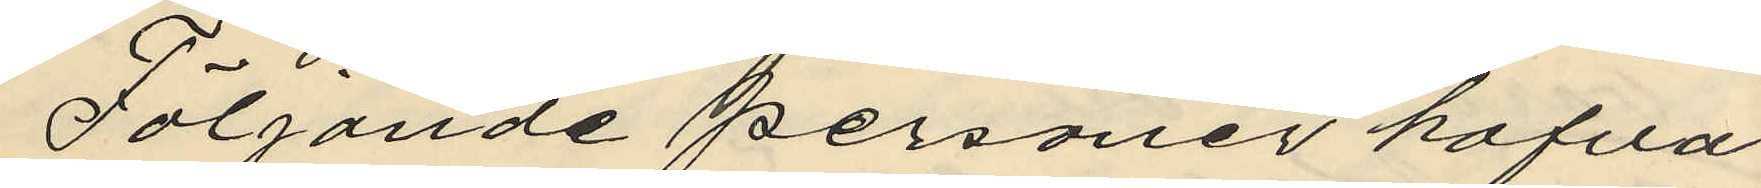Följande personer hafva
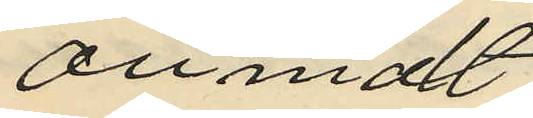anmält
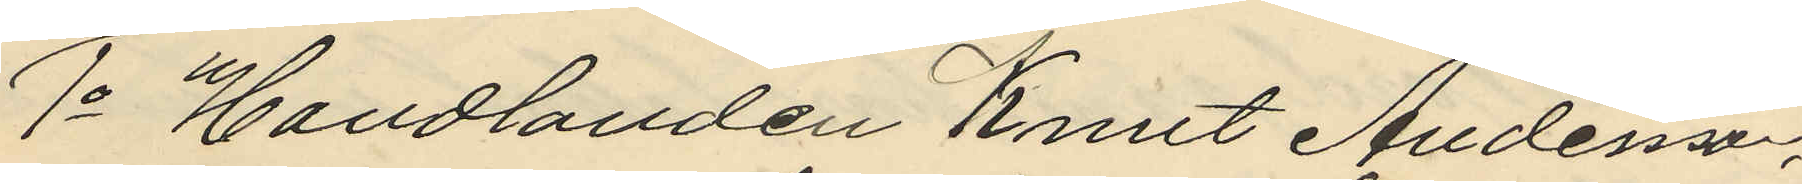1o Handlanden Knut Andersson,
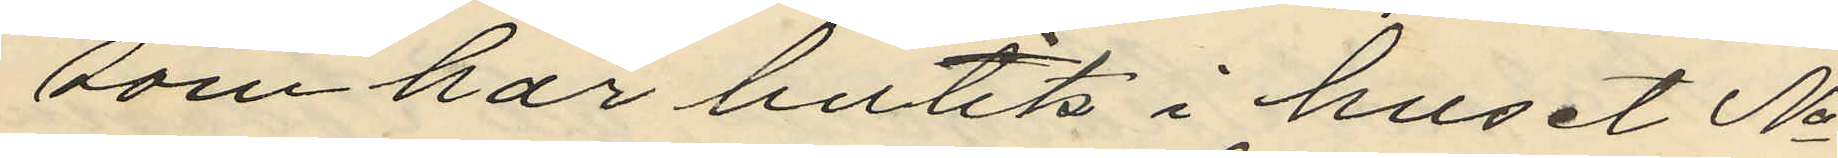som har butik i huset No
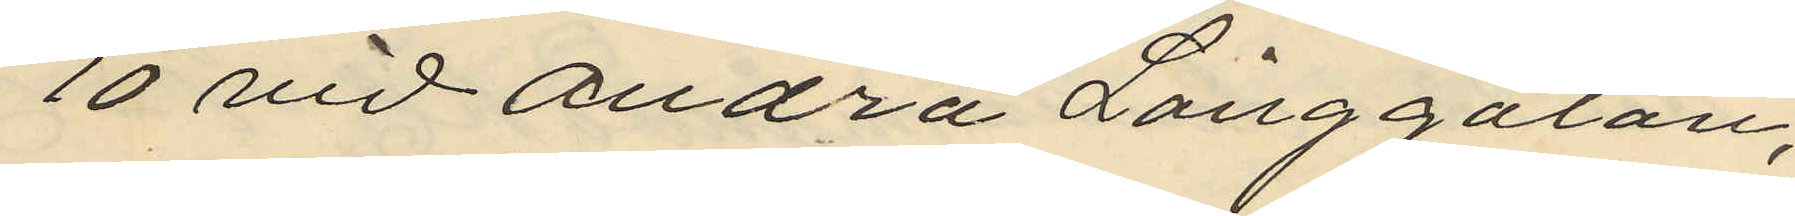10 vid Andra Långgatan,
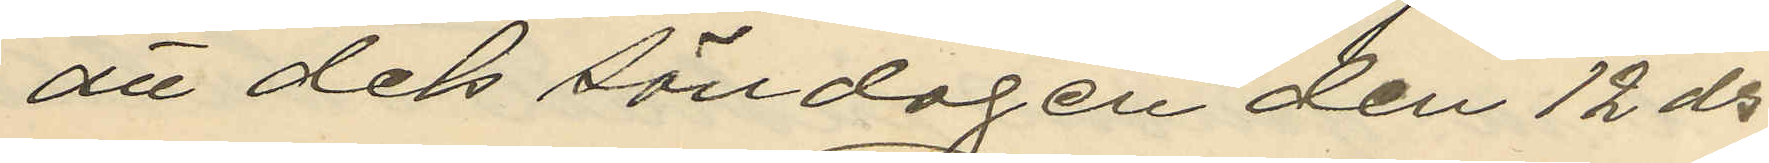att dels söndagen den 12 ds
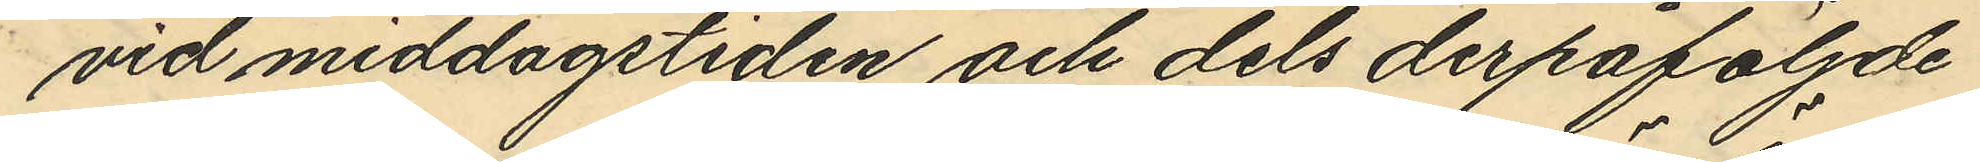vid middagstiden och dels derpåföljde
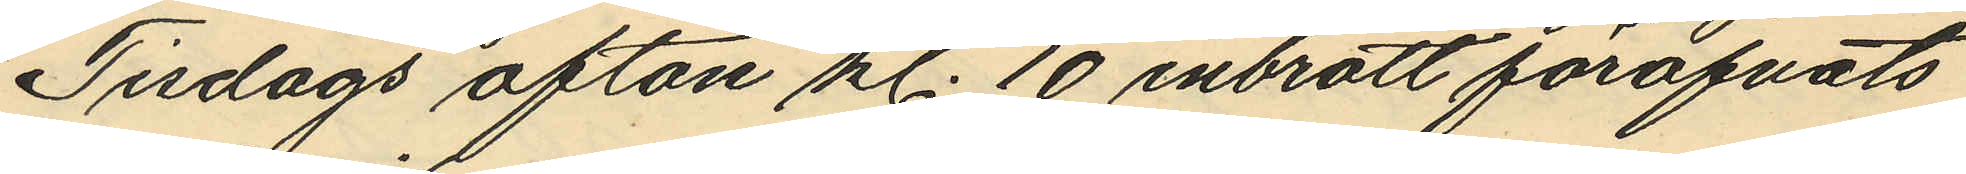Tisdags afton kl. 10 inbrott föröfvats
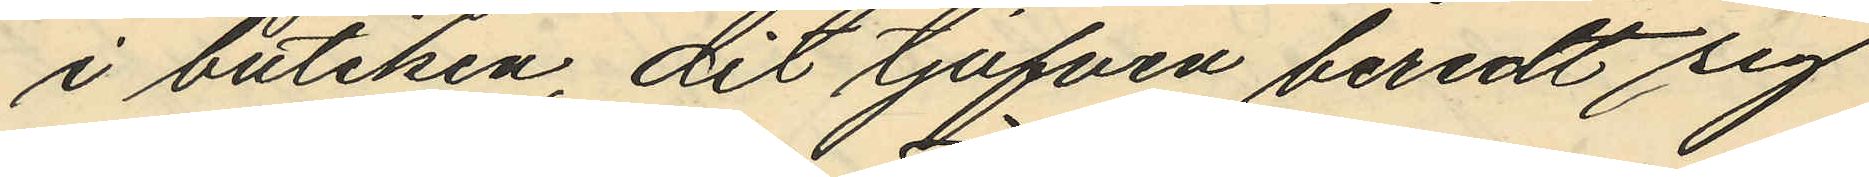i butiken, dit tjufven beredt sig
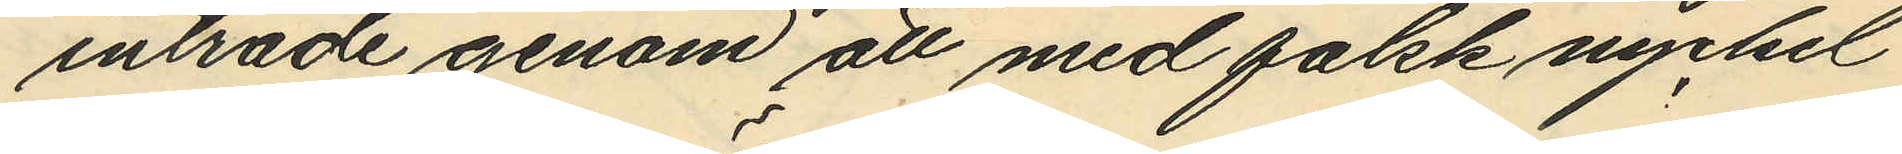inträde genom att med falsk nyckel
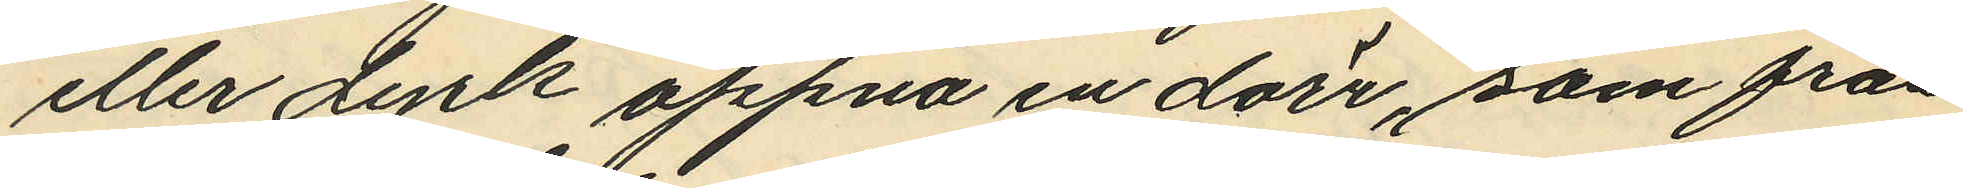eller dyrk öppna en dörr, som från
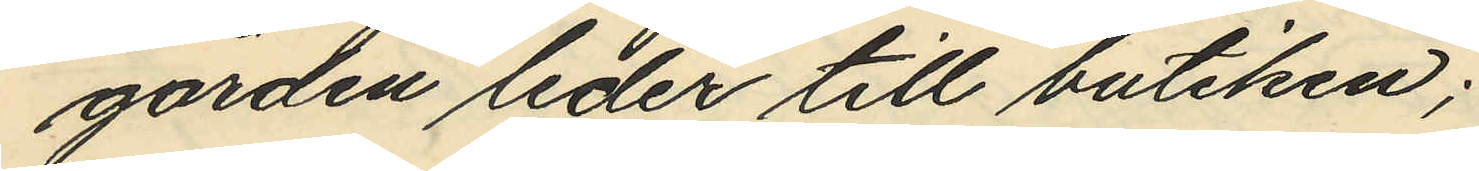gården leder till butiken;
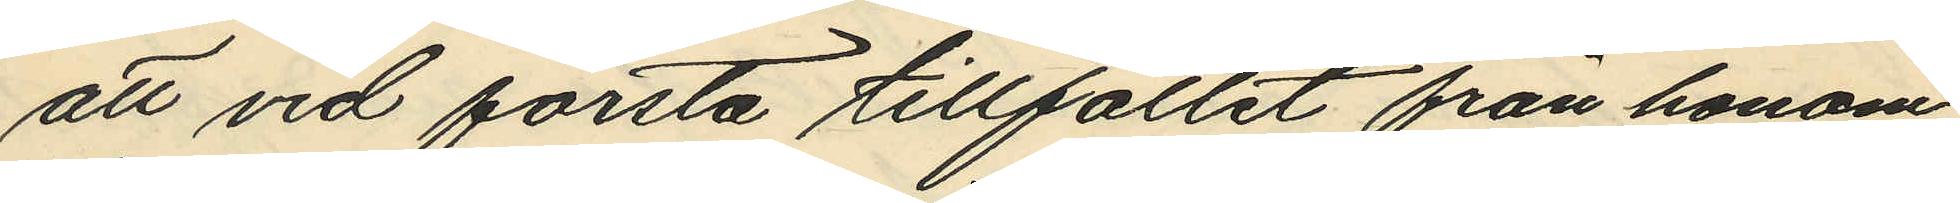att vid första tillfället från honom
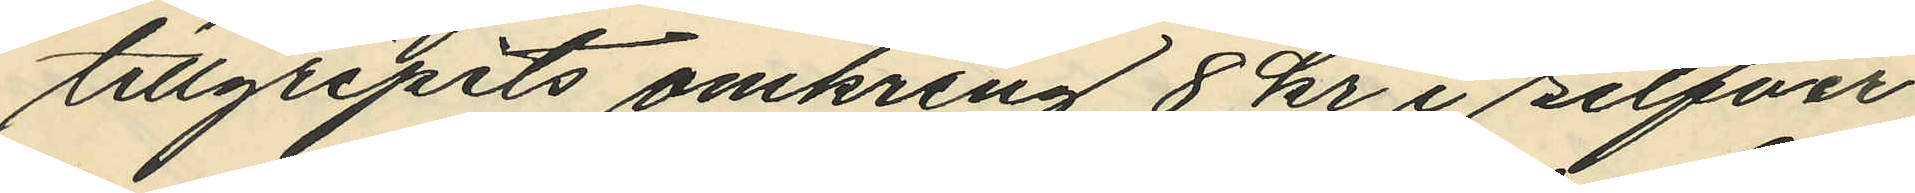tillgripits omkring 8 kr i silfver
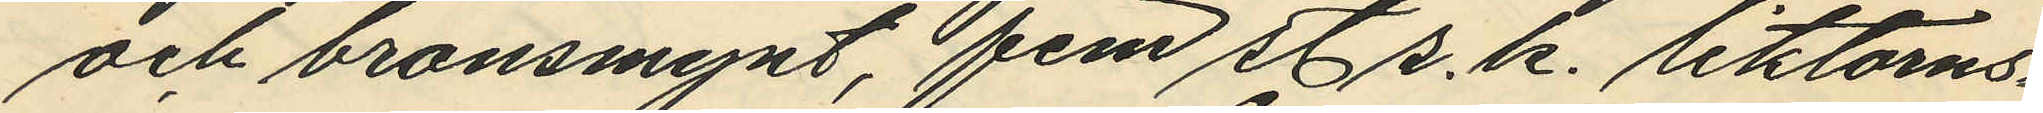och bronsmynt, fem st s. k. liktorns¬
